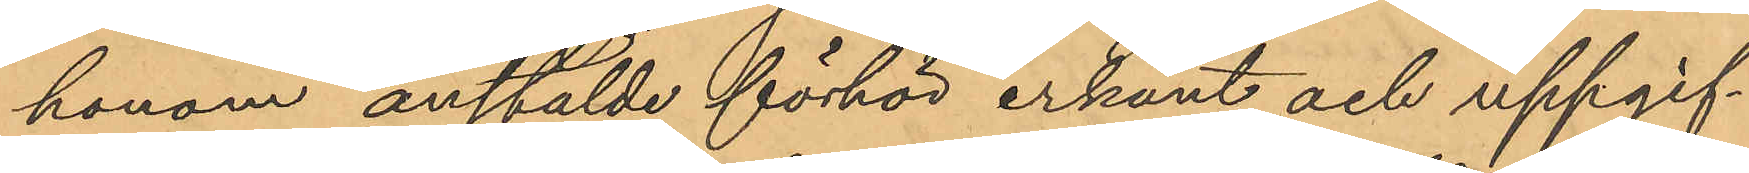honom anstälde förhör erkänt och uppgif¬
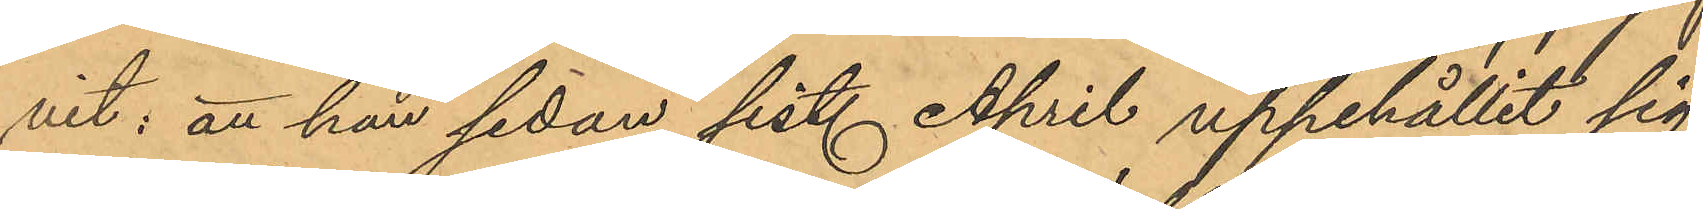vit; att han sedan sist. April uppehållit sig
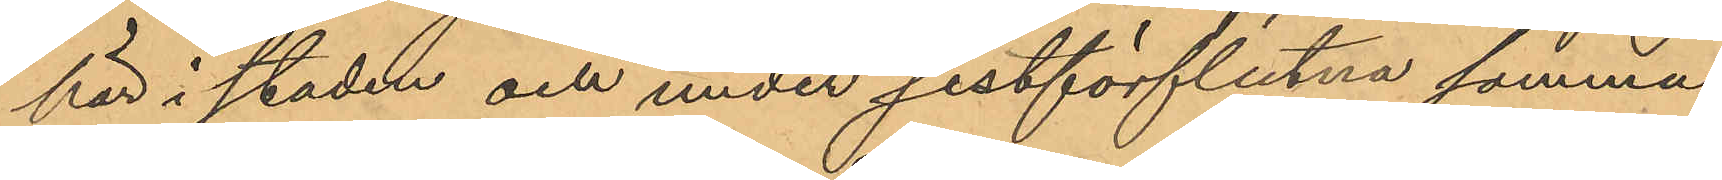här i staden och under sistförflutna somma¬
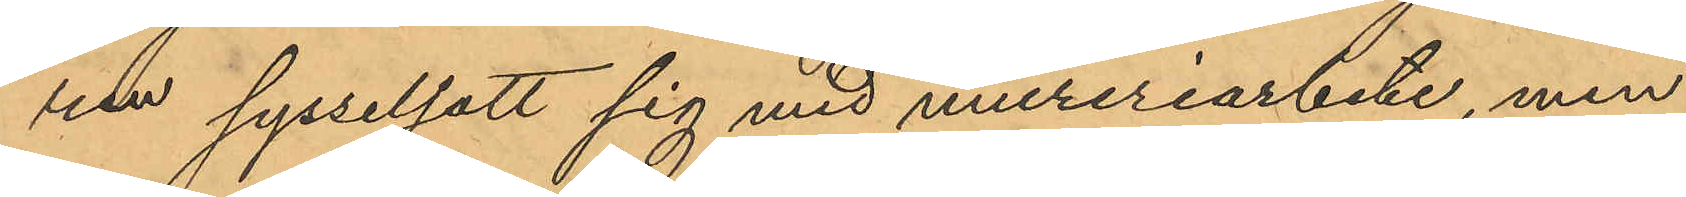ren sysselsatt sig med mureriarbete, men
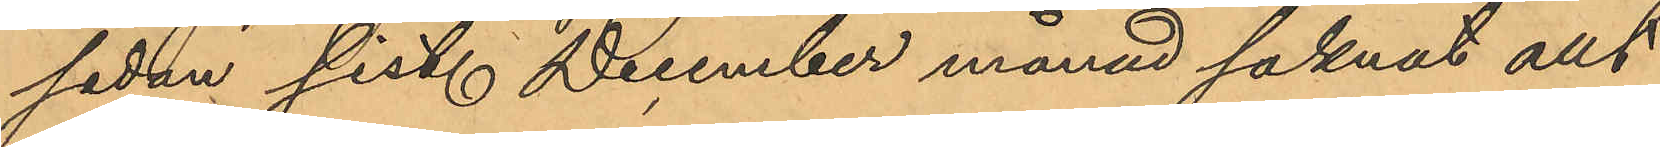sedan sist. December månad saknat allt
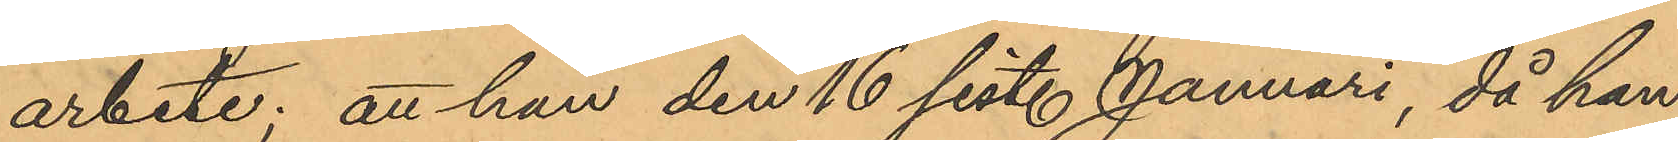arbete; att han den 16 sist. Januari, då han
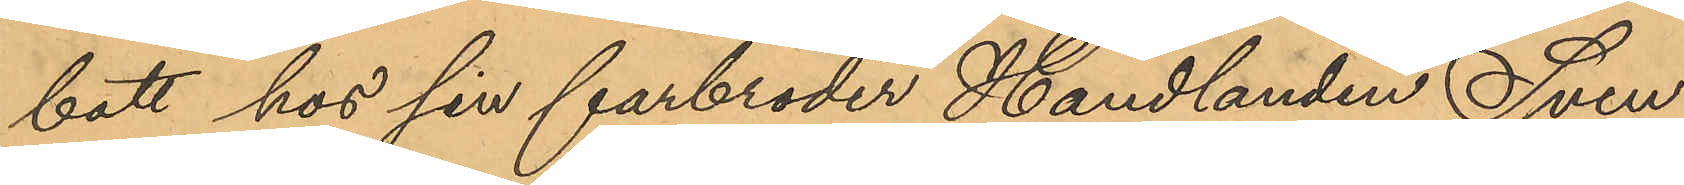bott hos sin farbroder Handlanden Sven
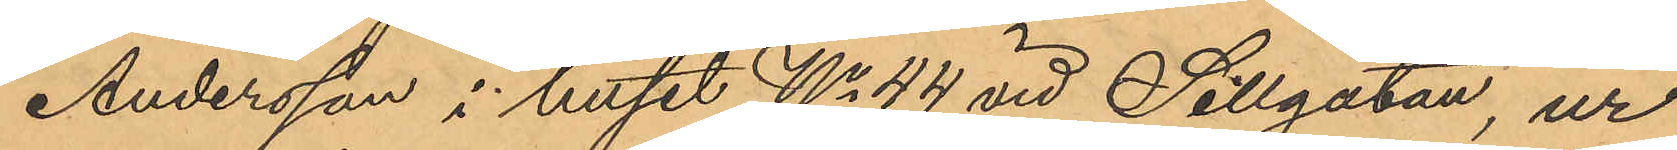Andersson i huset No 44 vid Sillgatan, ur
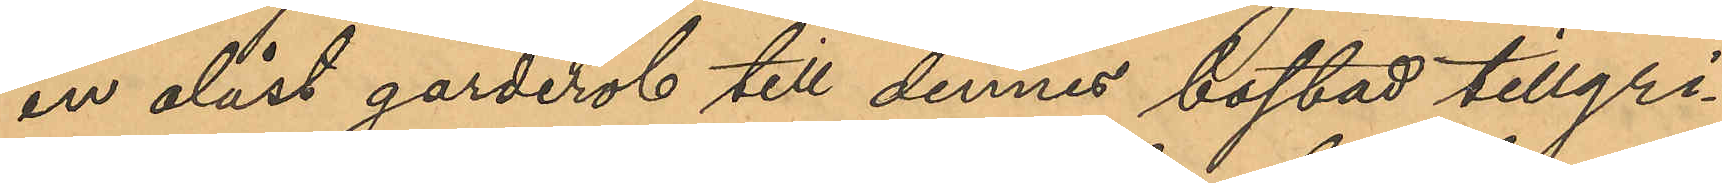en olåst garderob till dennes bostad tillgri¬
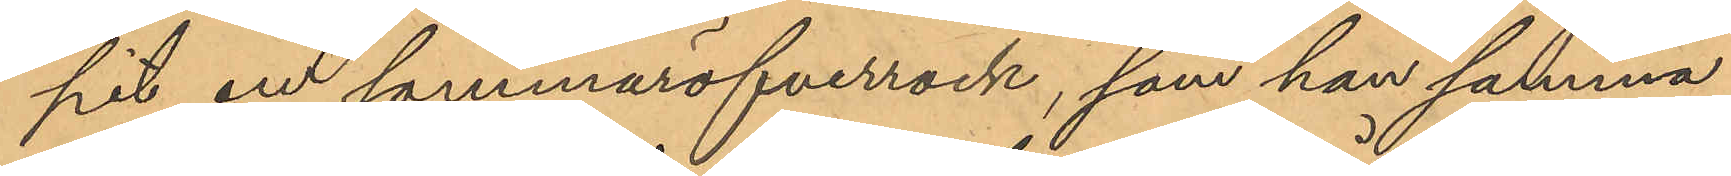pit en sommaröfverrock, som han samma
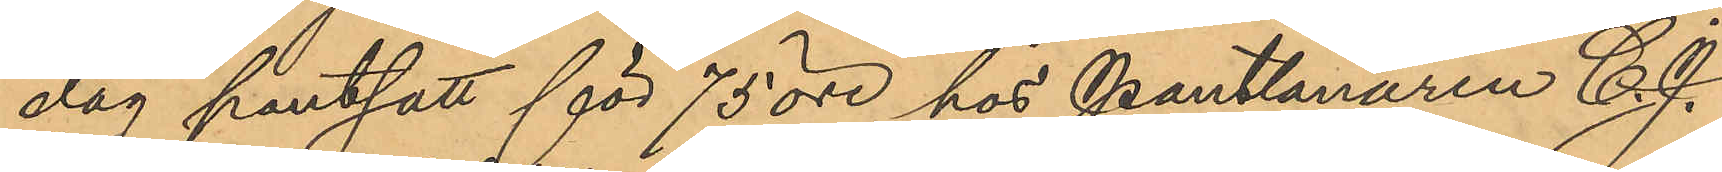dag pantsatt för 75 öre hos Pantlånaren C. J.
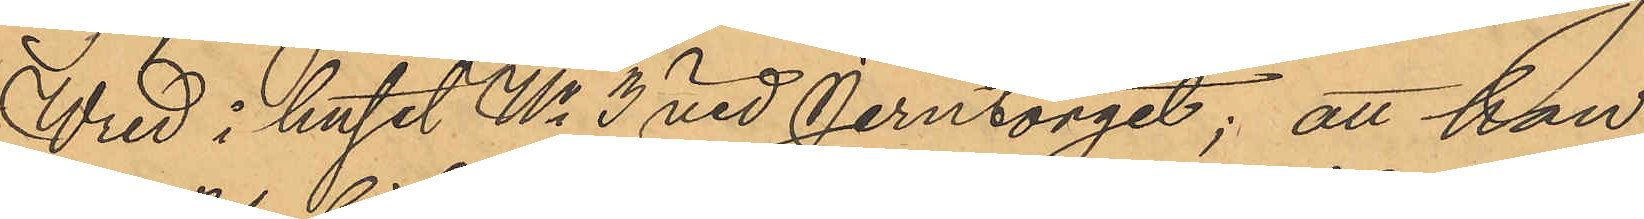Wred i huset No 3 vid Jerntorget; att han
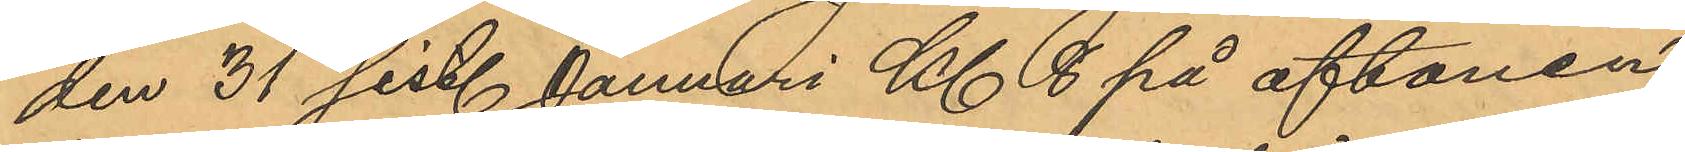den 31 sist. Januari Kl 8 på aftonen
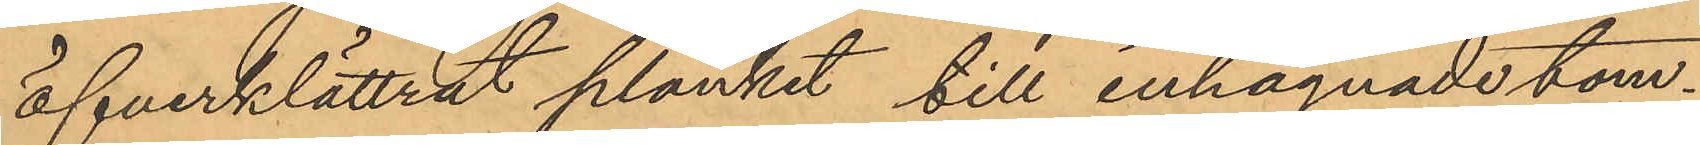öfverklättrat planket till inhägnade tom¬
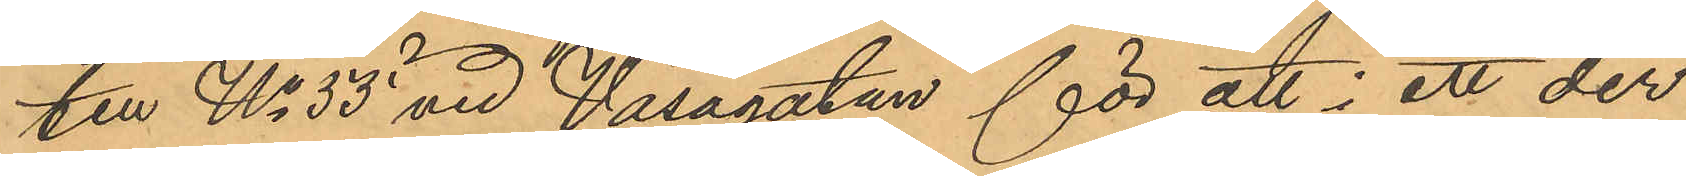ten No 55 vid Vasagatan för att i ett der
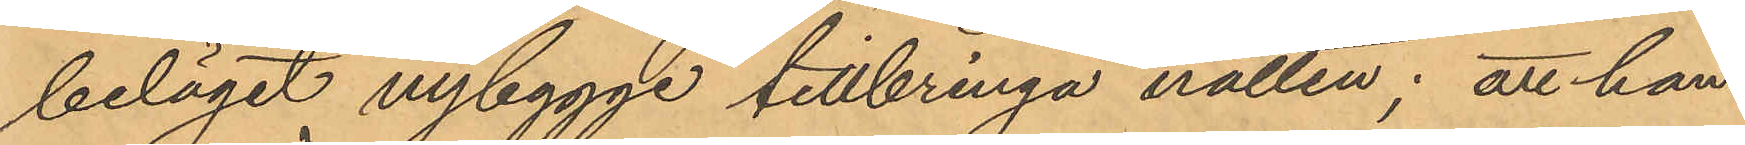beläget nybygge tillbringa natten; att han
